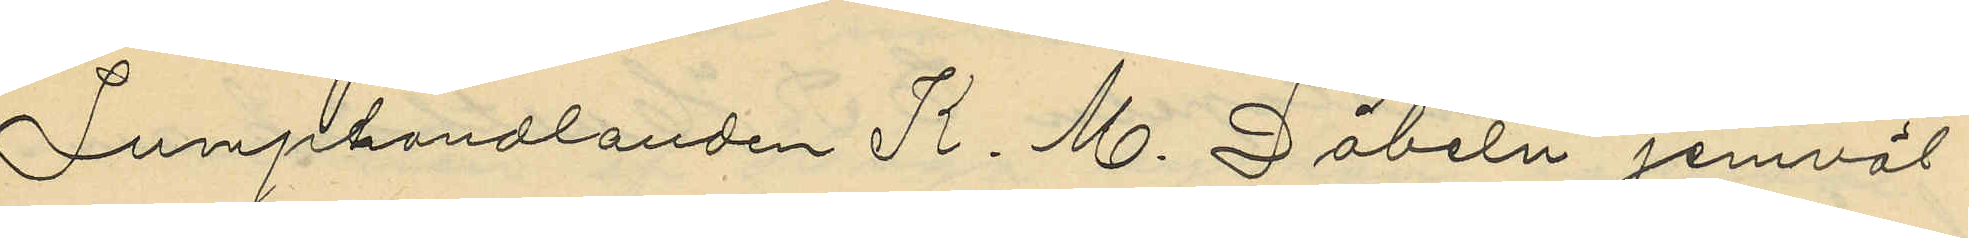Lumphandlanden K. M. Döbeln jemväl
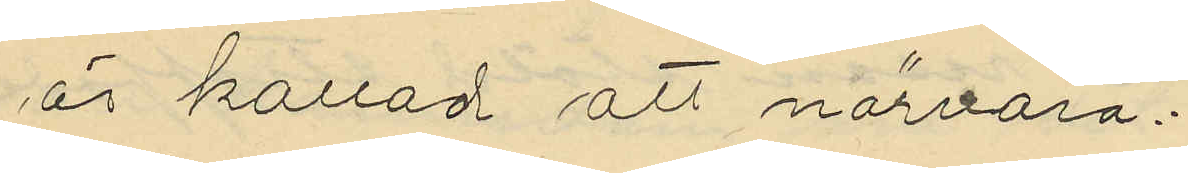är kallad att närvara;
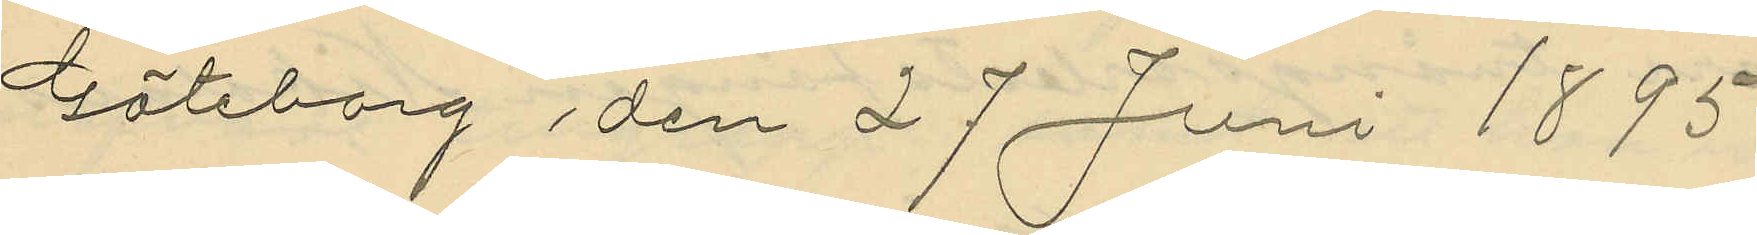Göteborg den 27 Juni 1895.
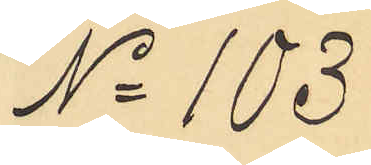No 103
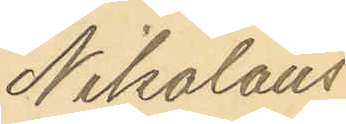Nikolaus
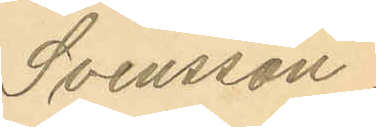Svensson.
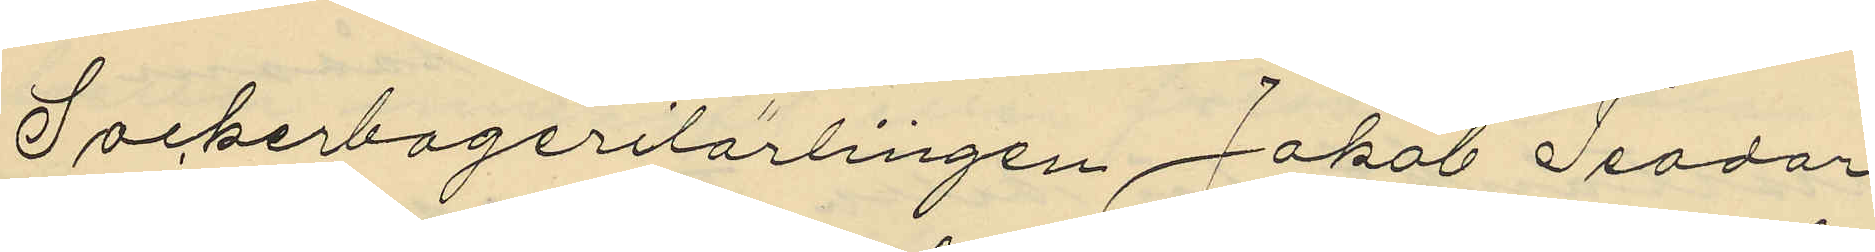Sockerbagerilärlingen Jakob Teodor
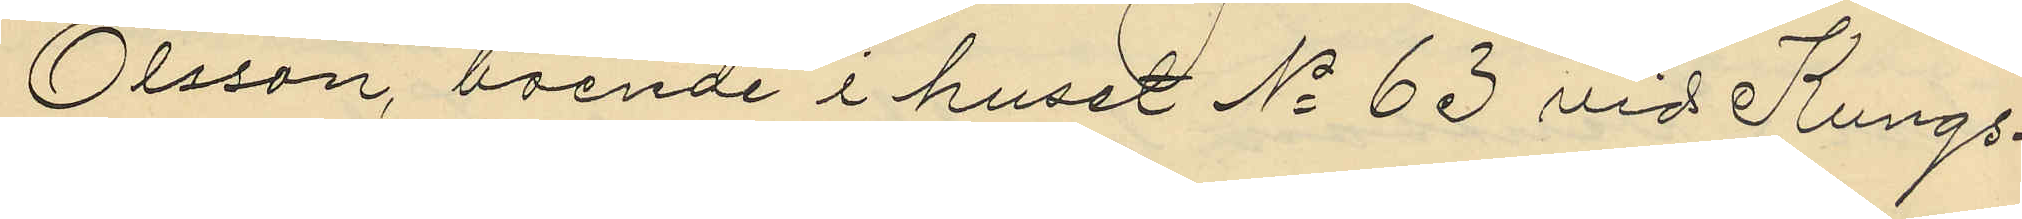Olsson, boende i huset No 63 vid Kungs¬
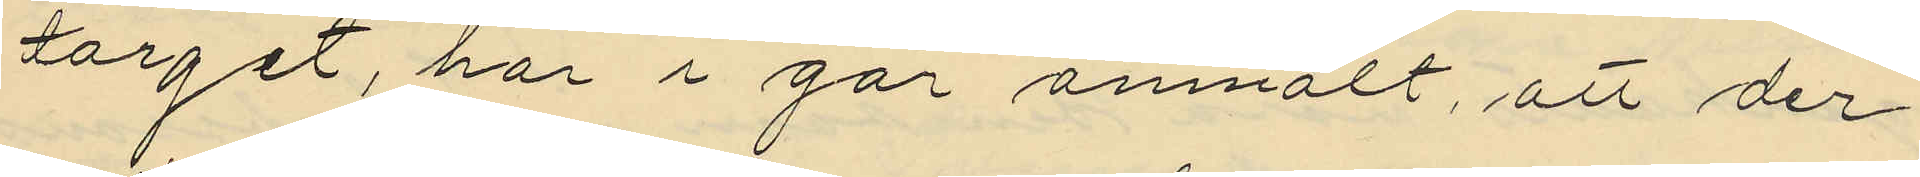torget, har i går anmält, att der
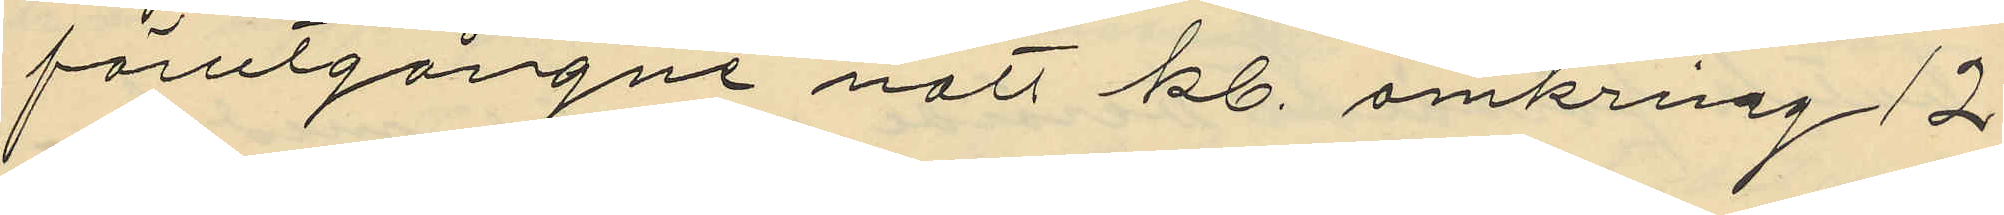förutgångne natt kl. omkring 12
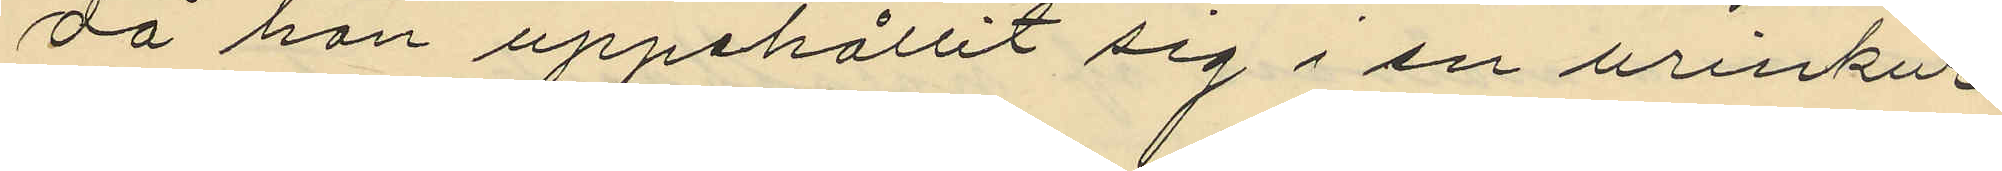då han uppehållit sig i en urinkur
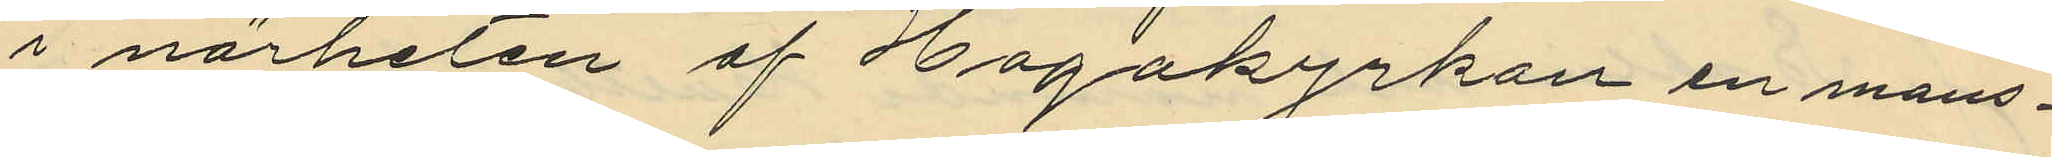i närheten af Hagakyrkan en mans¬
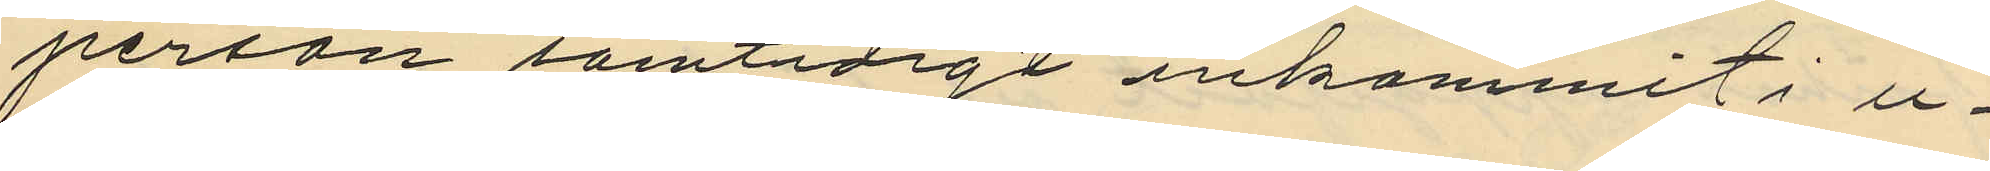person samtidigt inkommit i u¬
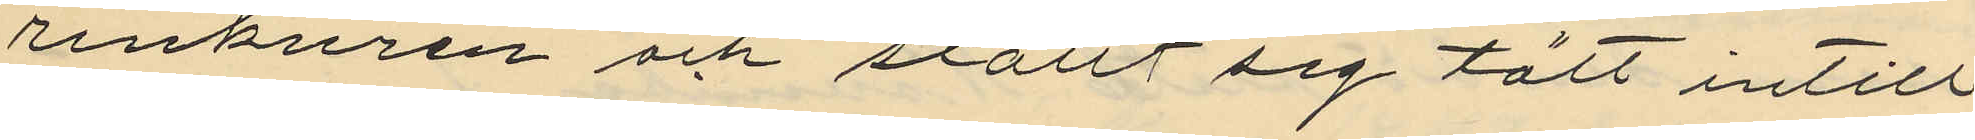rinkuren och ställt sig tätt intill
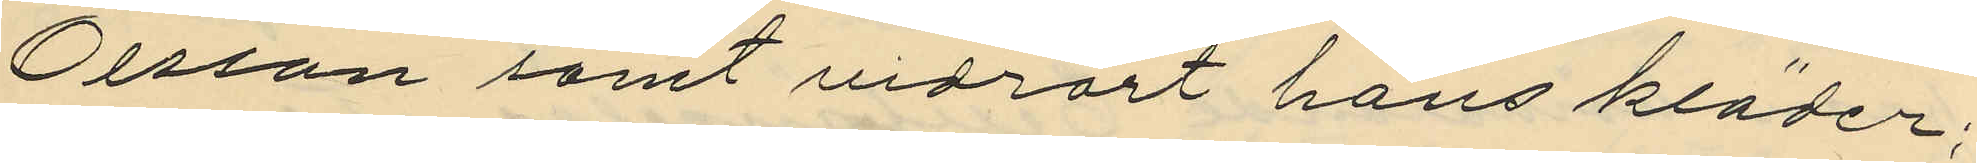Olsson samt vidrört hans kläder;
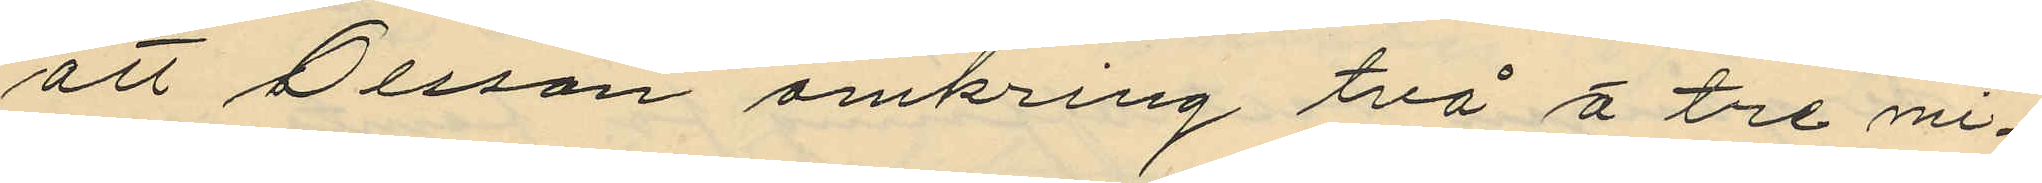att Olsson omkring två å tre mi¬
